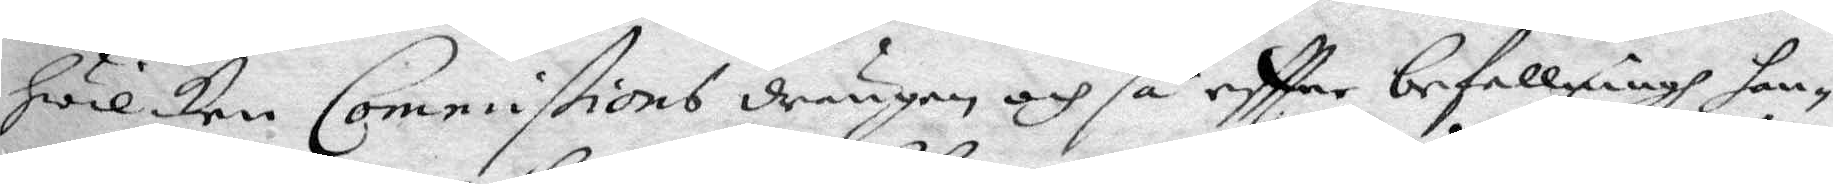hwilken Commißions drängen och så eftter befallningh han¬
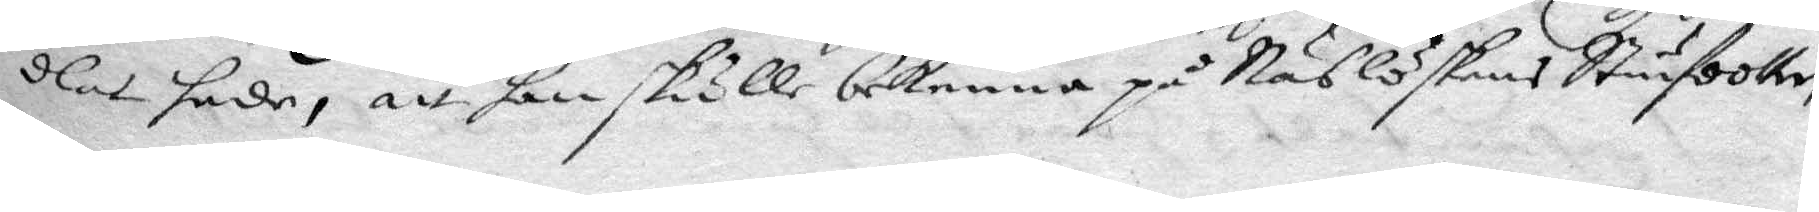dlat, sade, att han skulle bekenna på Näslöskans Stiufdotter
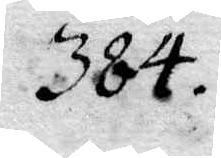384.
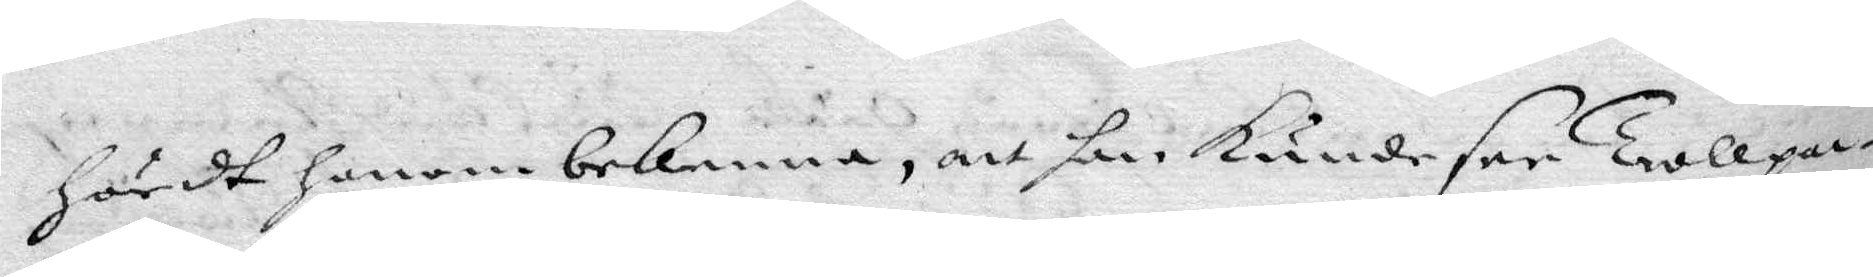hördt honom bekenna, att han kunde see Trollpac¬
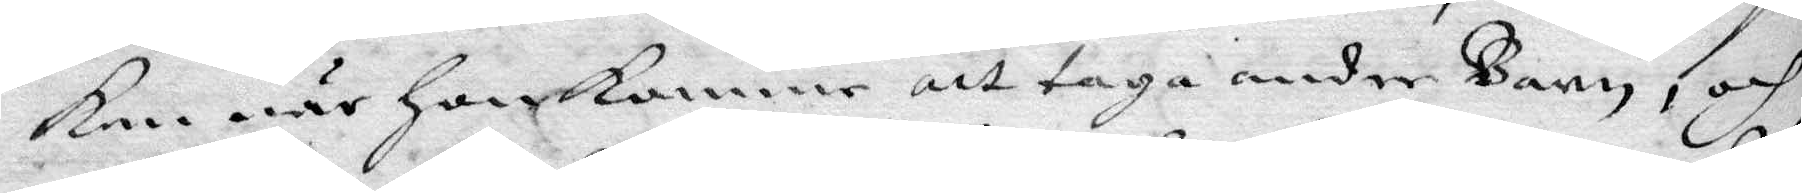kan när han kommer att taga andre Barn, och
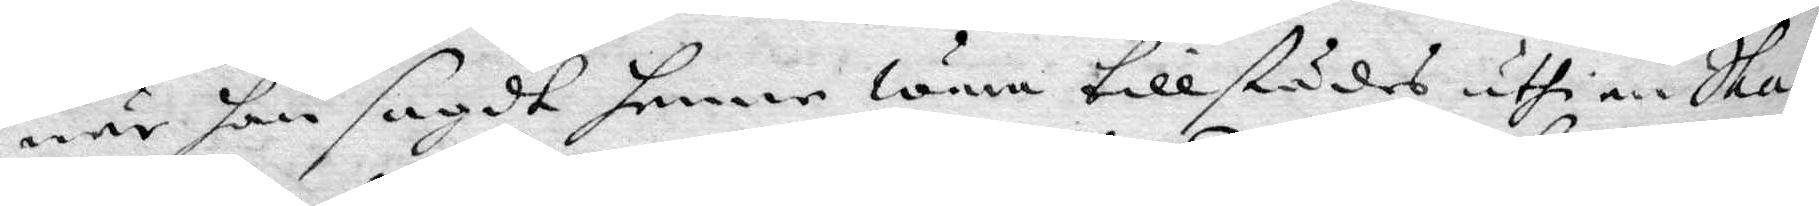när han sagdt henne wara tillstädes uthi en Ska¬
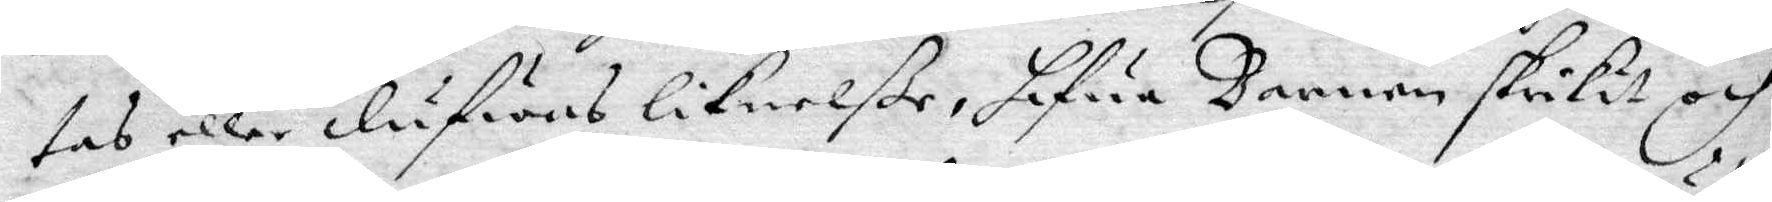tas eller dufwas liknelße, hafua Barnen skrikit och
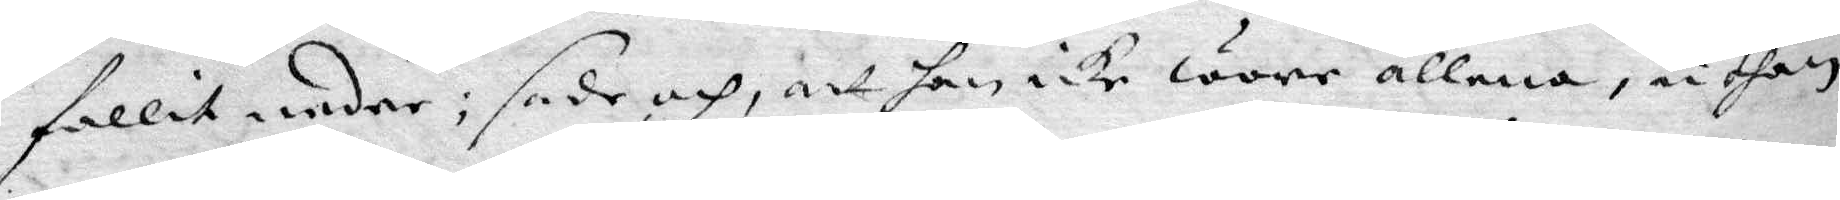fallit neder; sade och, att han icke wore allena, uthan
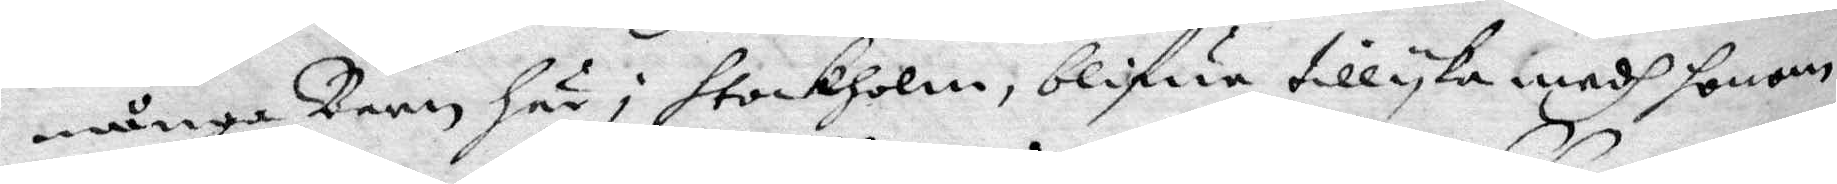många Barn här i stockholm, blifua tillyka medh honom
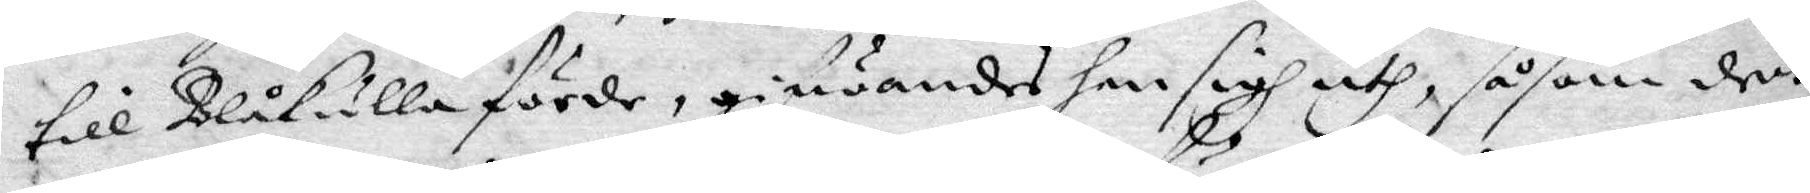till Blåkulla förde, gifwandes han sigh uth, såsom den
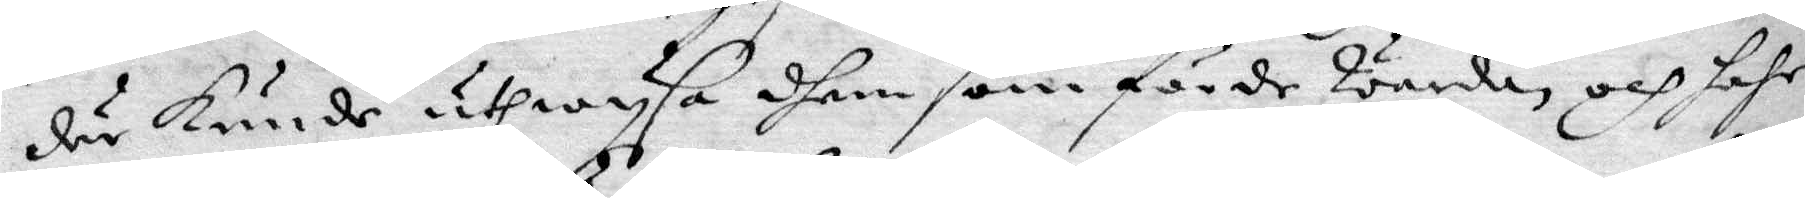där kunde utwysa dhem som förde warda och hafr
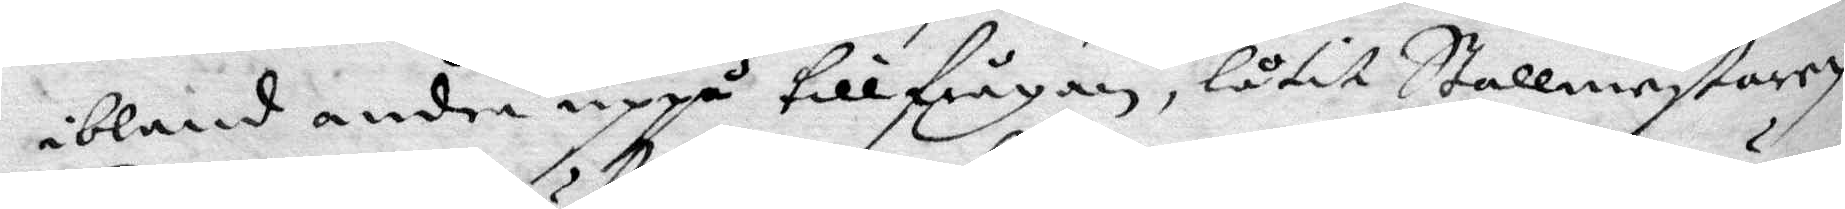ibland andra uppå tillfrågan, låtit Stallmestaren
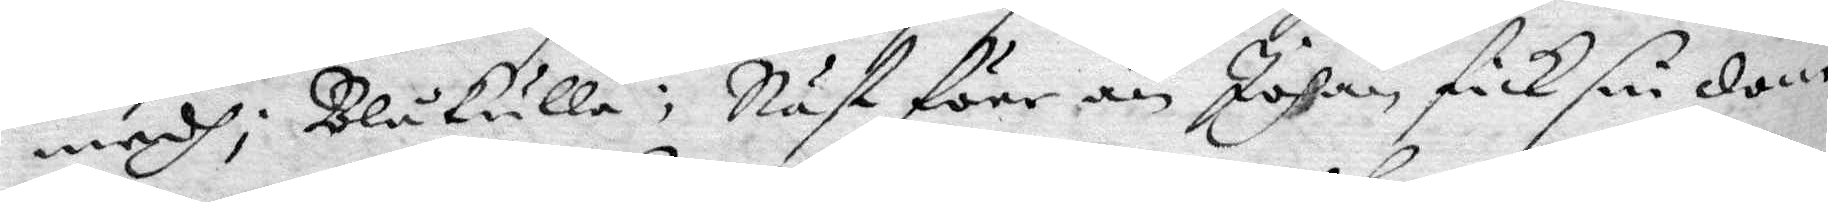medh i Blåkulla: Näst före n Johan fick sin dom
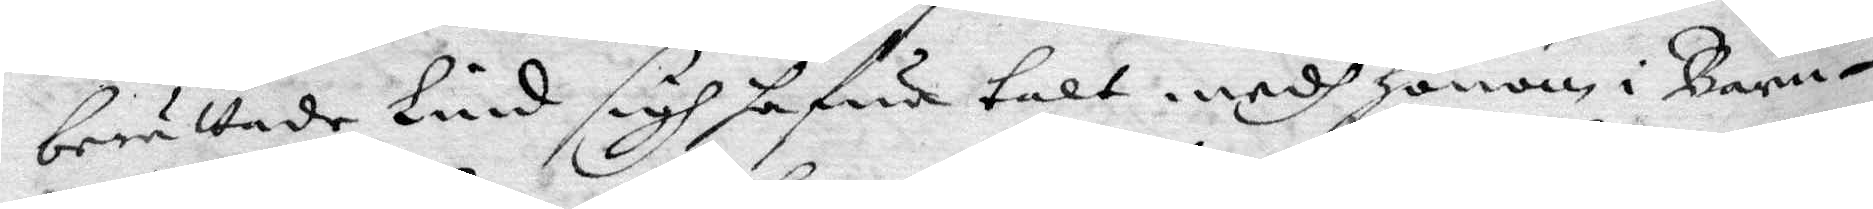berättade Lind sigh hafwa talt medh honom i Barn¬
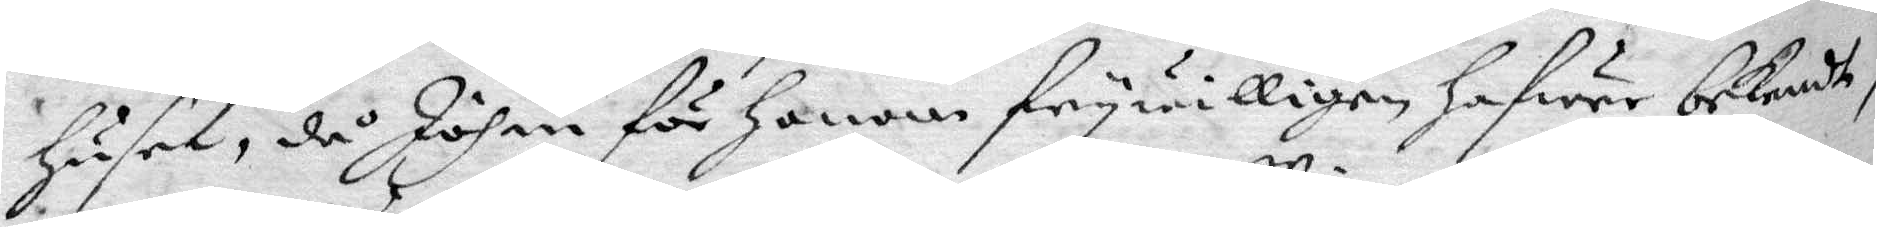huset, då Johan för honom frywilligen hafwer bekendt
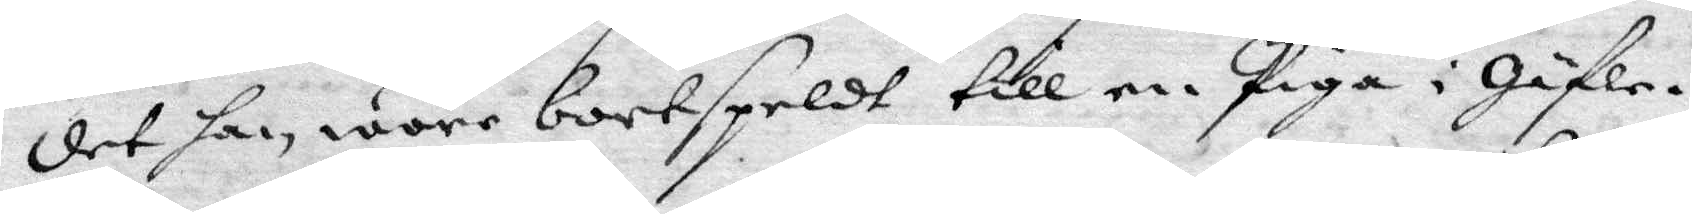det han wore bortspeldt till en Piga i Gäfle.
